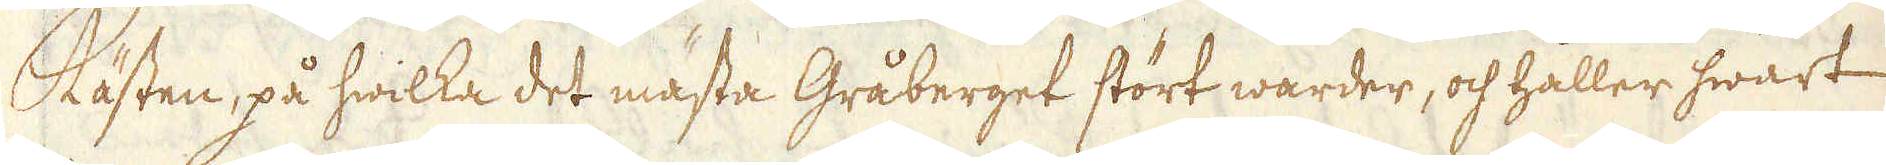Kästen, på hwilka det mästa Gråberget stört warder, och håller hwart
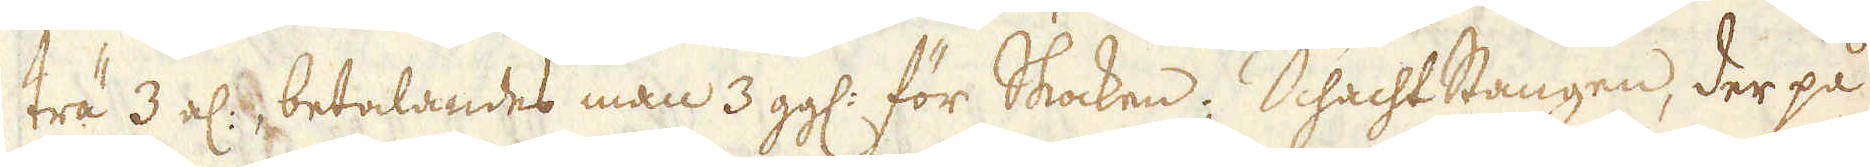trä 3 al:, betalandes man 3 gg: för Skocken; Schachtstangen, der på
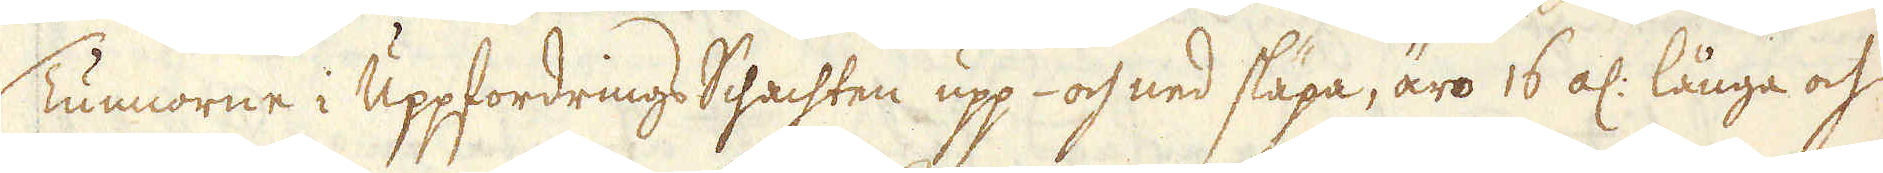Tunnorne i Uppfordrings Schachten upp- och ned släpa, äro 16 al: långa och
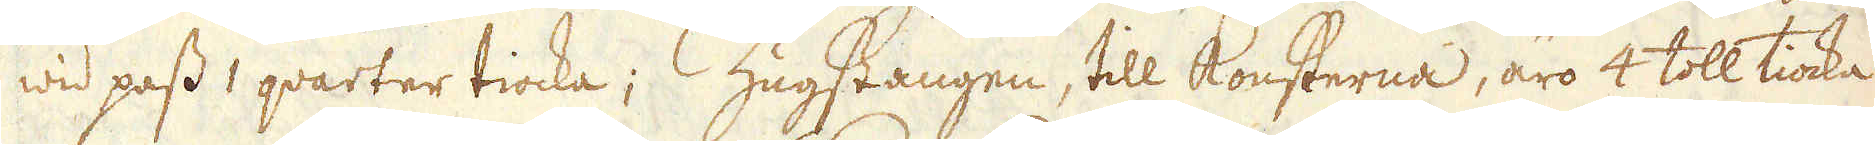wid pass 1 qvarter tiocka; Zugstangen, till konsterna, äro 4 toll tiocka
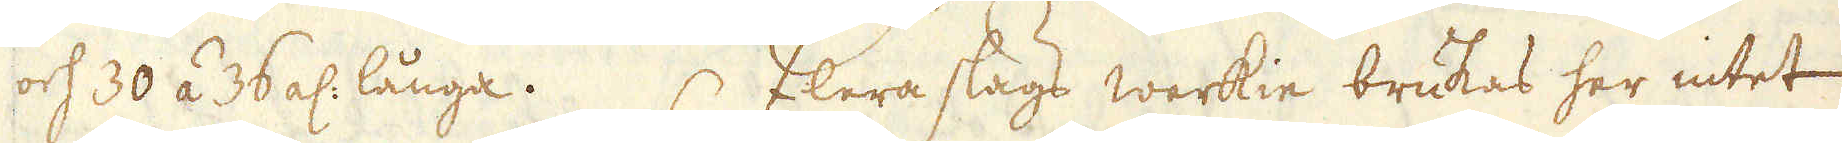och 30 á 36 al: långa. Flera slags werkie brukas her intet
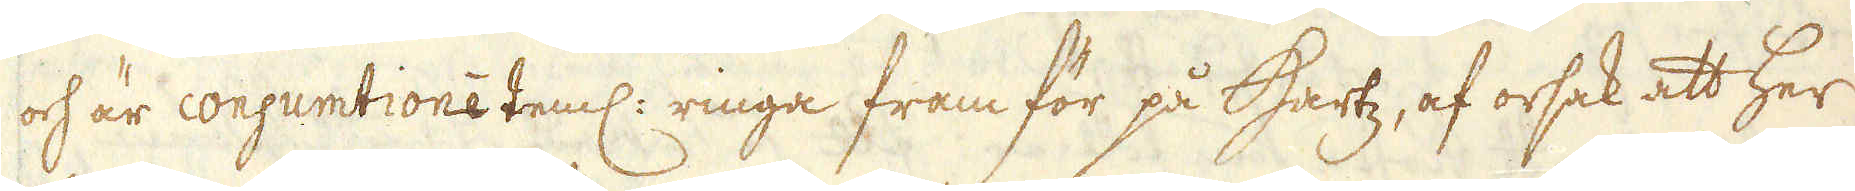och är consumtioné teml: ringa fram för på Hartz, af orsak att her
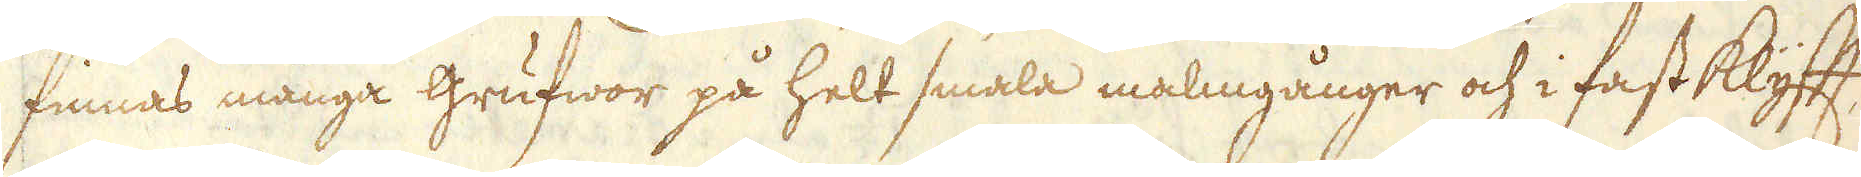finnas många grufwor på helt smala malmgånger och i fast Klyfft,
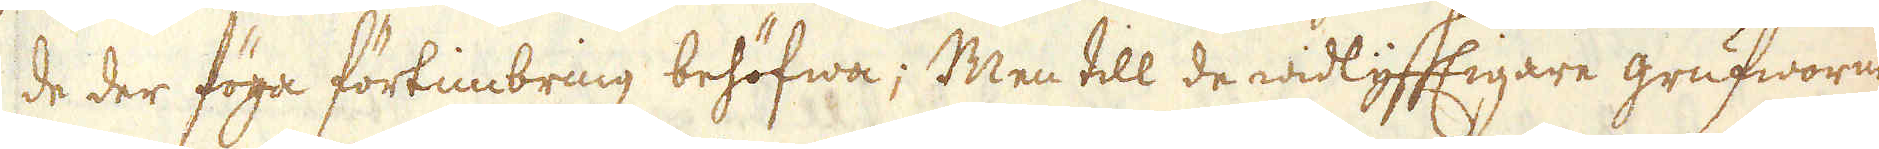de der föga förtimbring behöfwa; Men till de widlyfftigare grufworne
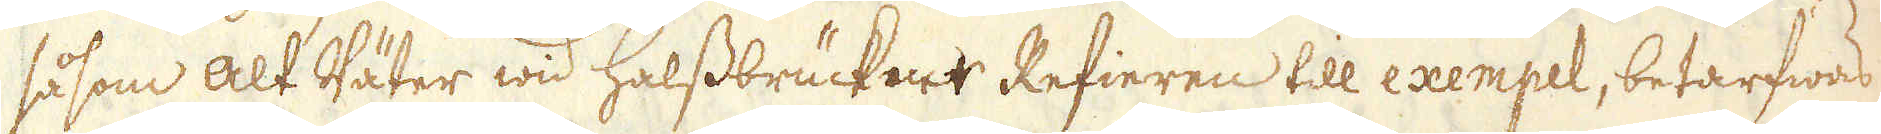såsom Alt Väter wid Halssbrückner Refieren till exempel, betarfwas
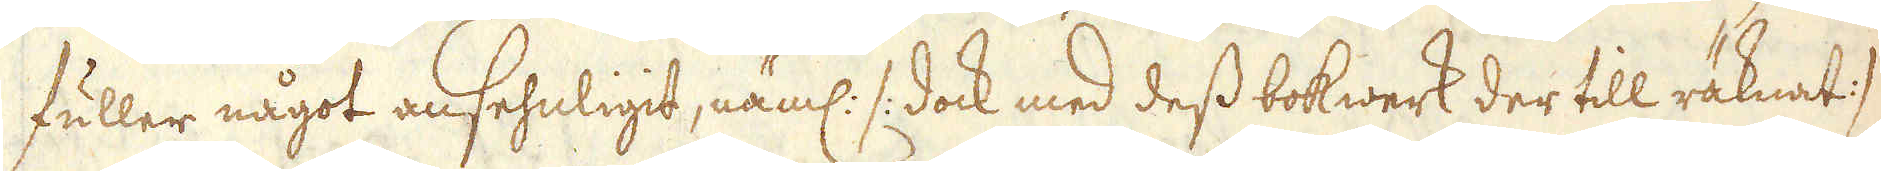fuller något ansehnligit, näml: /:dock med dess bokwerk der till räknat :/
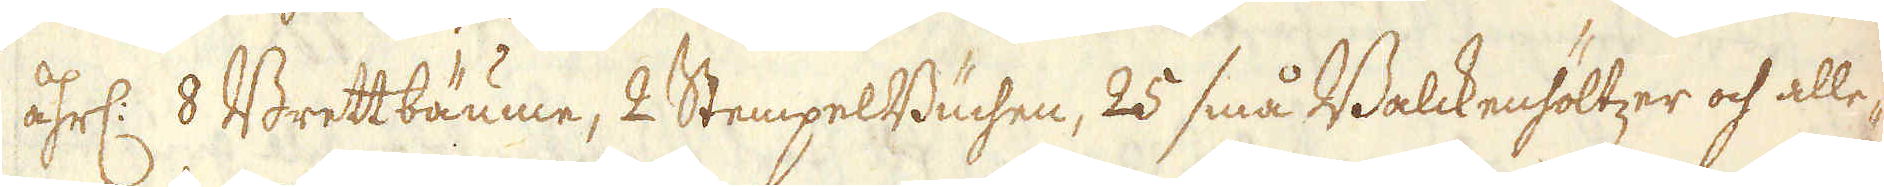åhrl: 8 Brettbäume, 2 StempelBuchen, 25 små Balckenhöltzer och alle-
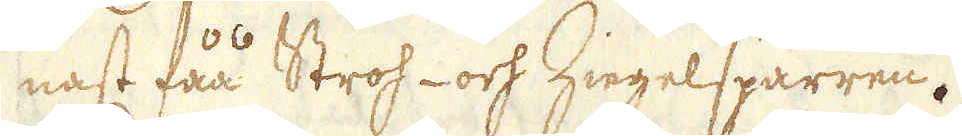nast fåå Stros- och Ziegelsparren.
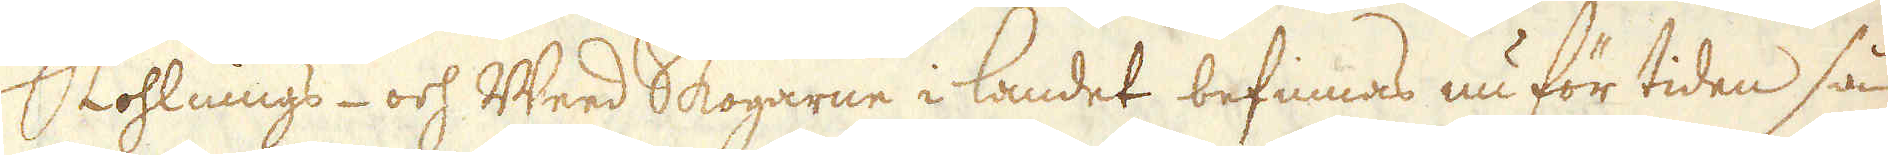Kohlnings- och Weed Skogarne i landet befinnas nu för tiden så
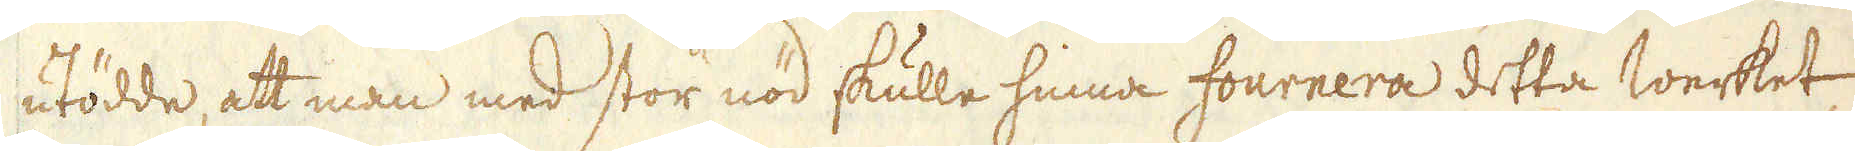utödde, att man med stor nöd skulle hinna fournera detta werket,
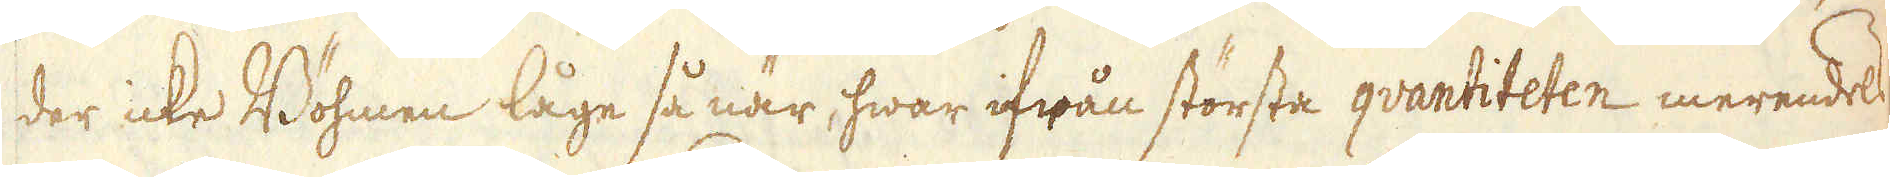der icke Böhmen låge så när, hwar ifrån största qvantiteten merendels
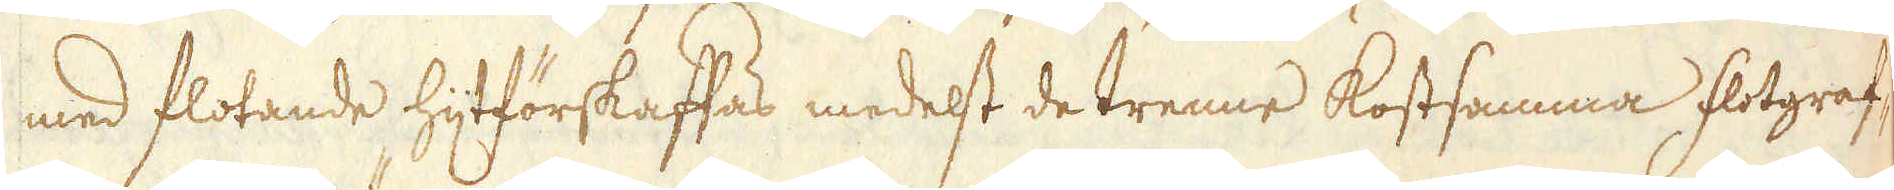med flotande hijtförskaffas medest de trenne kostsamma Flotgraf-
